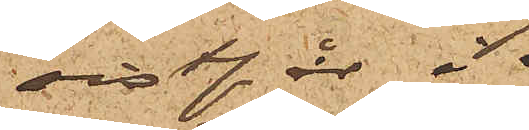sistl. år i
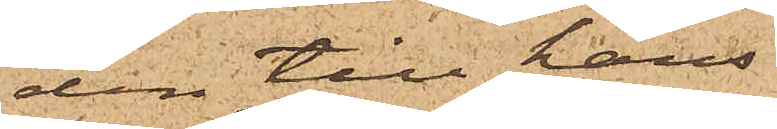den till hans
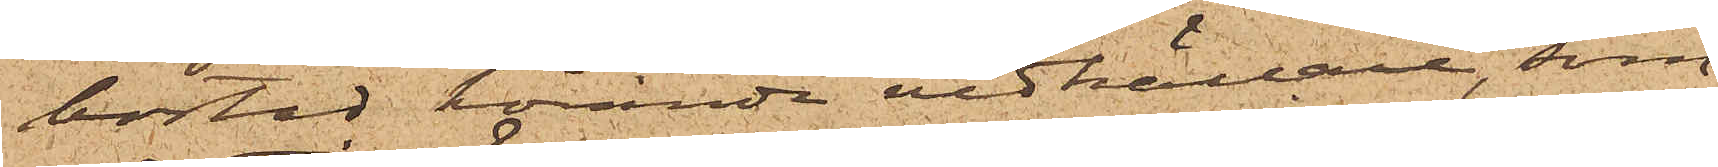bostad hörande vedkällare, som
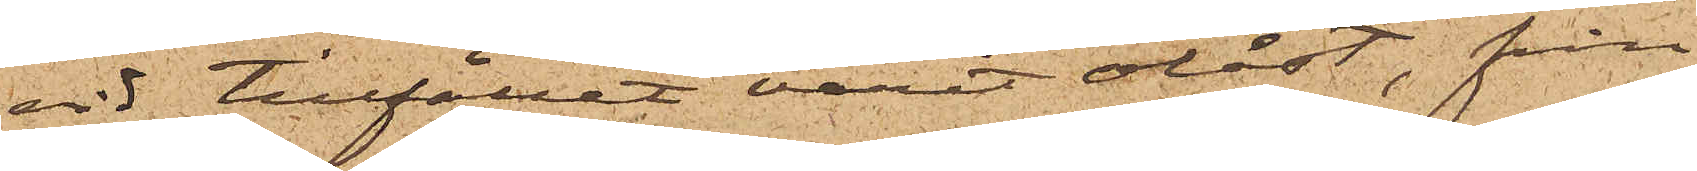vid tillfället varit olåst, från
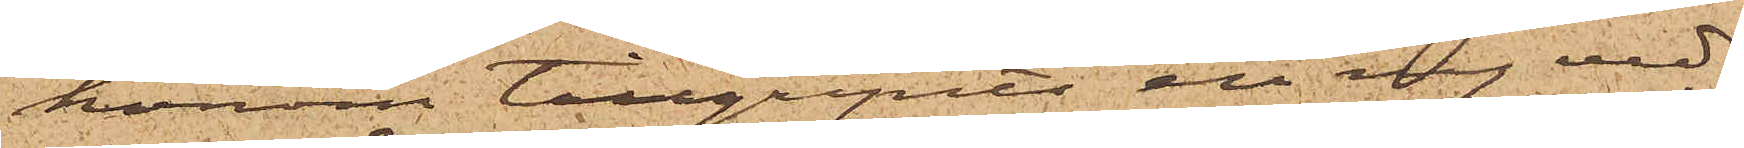honom tillgripits en ny ved¬
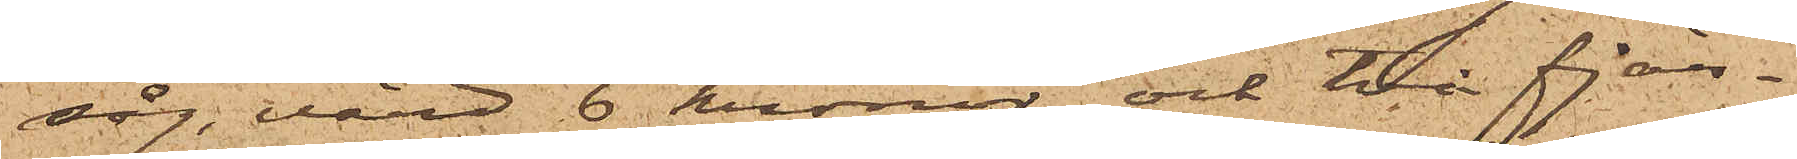såg, värd 6 kronor och två fjer¬
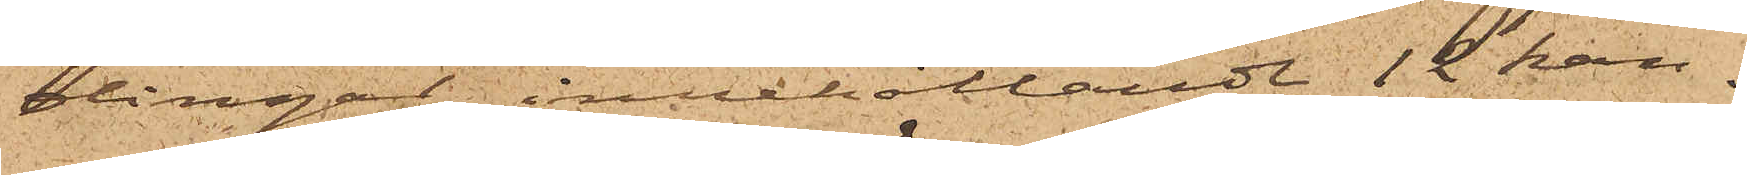dingar, innehållande 12 kan¬
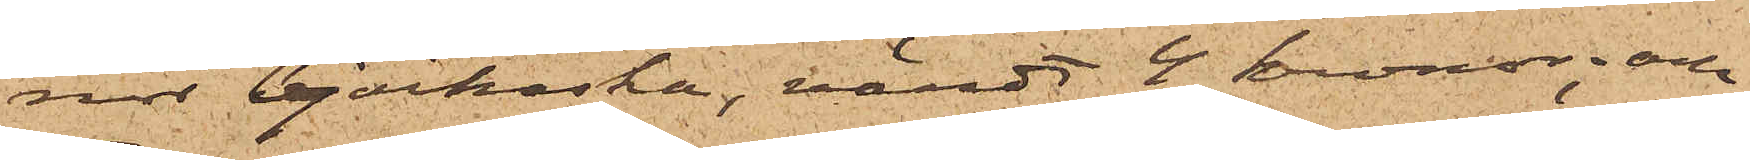nor björkaska, värdt 4 kronor; och
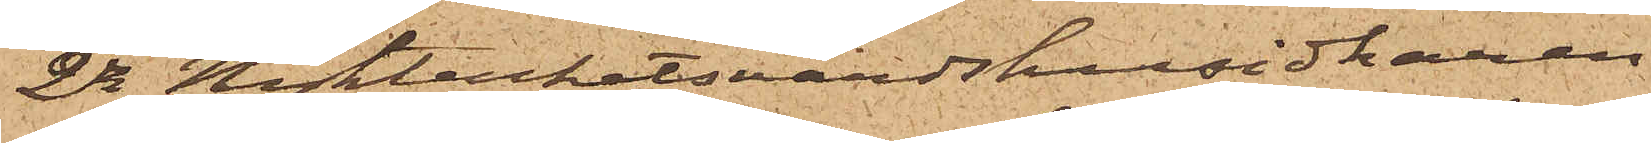2o Nykterhetsvärdshusidkaren
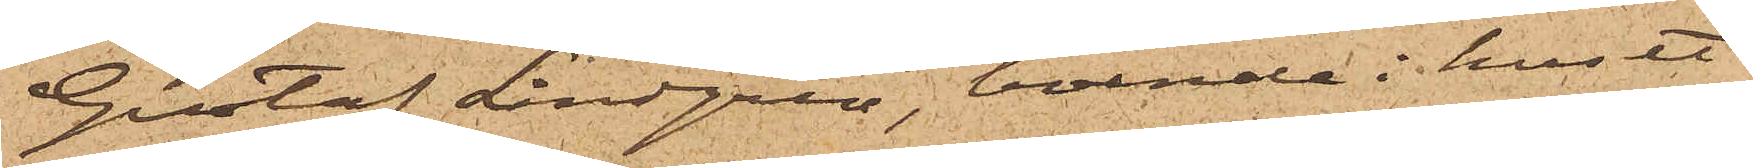Gustaf Lindgren, boende i huset
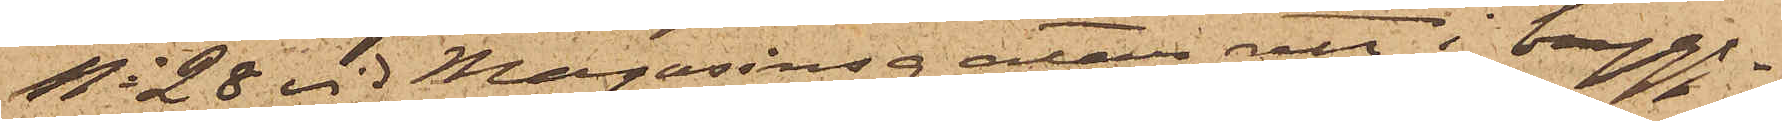No 28 vid Magasinsgatan, att i brygg¬
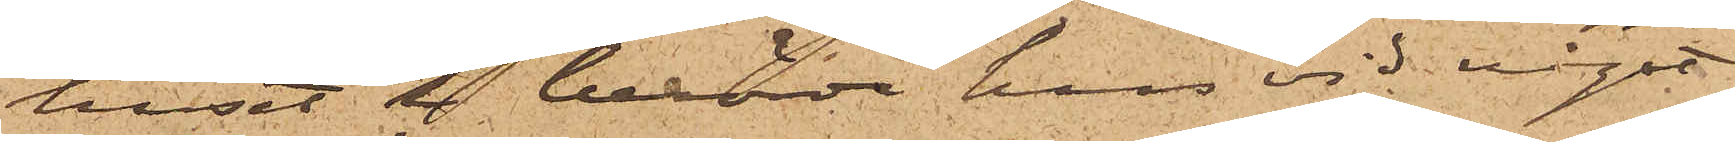huset i berörde hus vid något
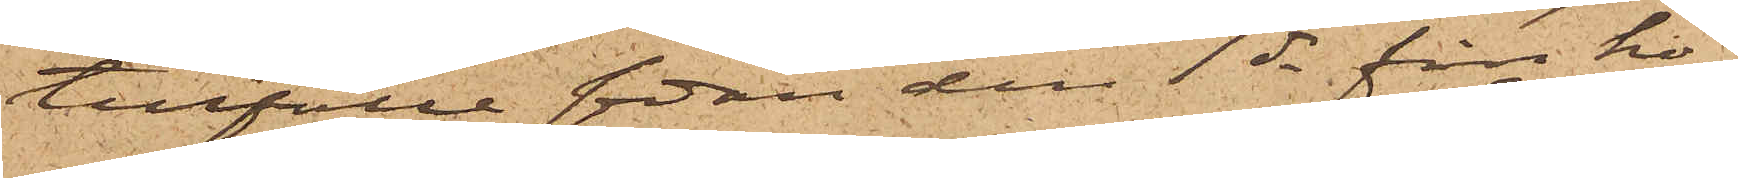tillfälle sedan den 1 ds från ho¬
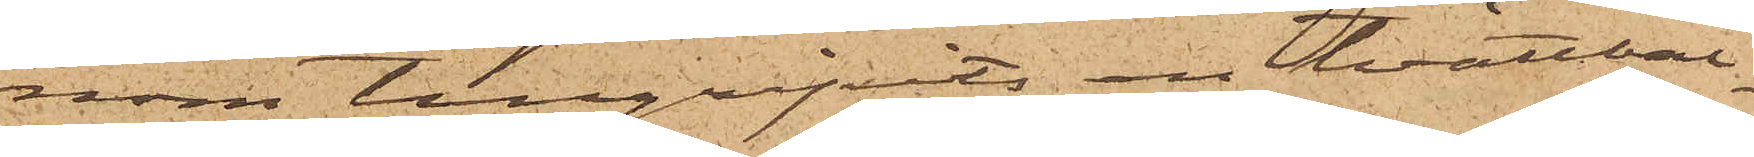nom tillgripits en tvättbal¬
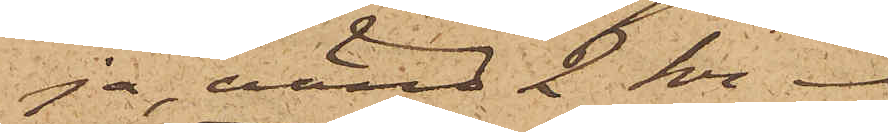ja, värd 2 kr.
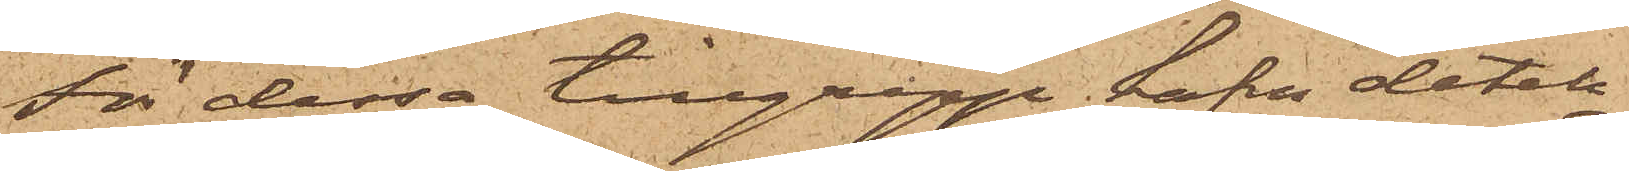För dessa tillgrepp hafva detek¬
